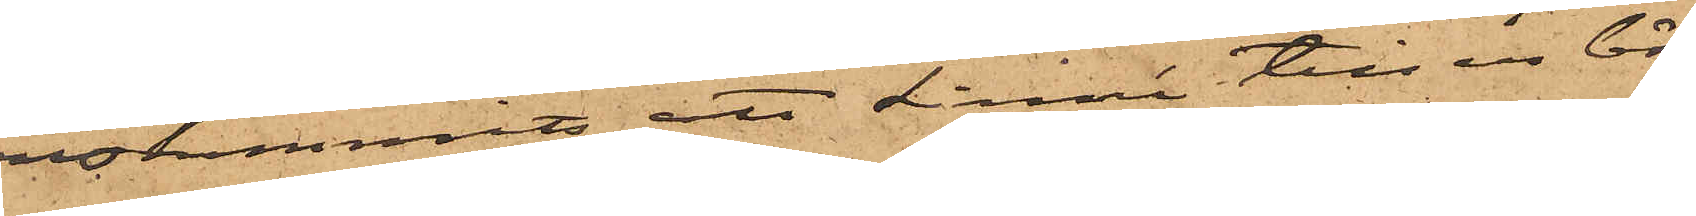enskommits att Linné till en bör¬
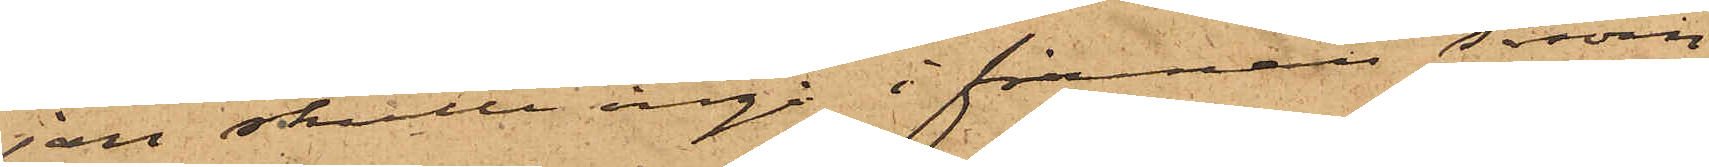jan skulle ingå i firman såsom
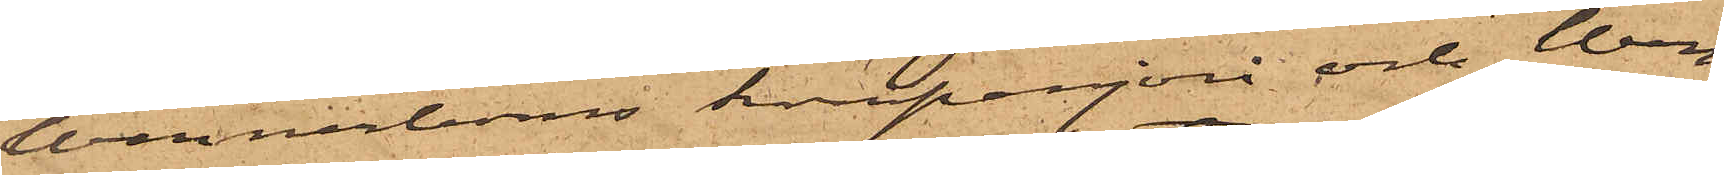Wennerboms kompanjon och Wen¬
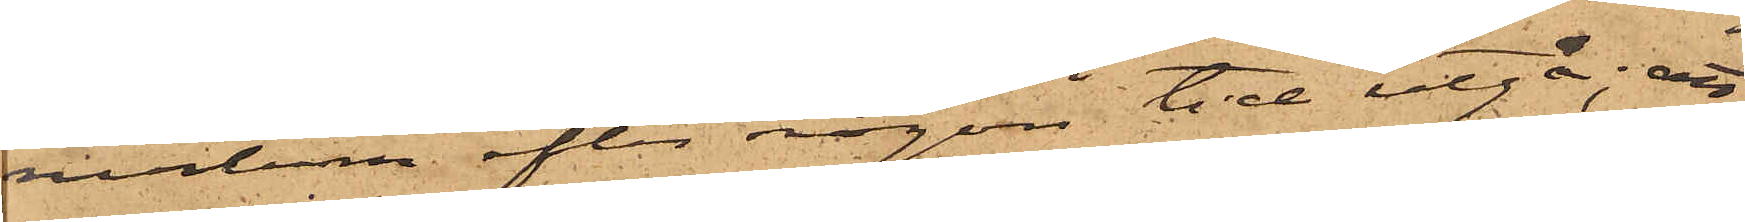nerbom efter någon tid utgå; att
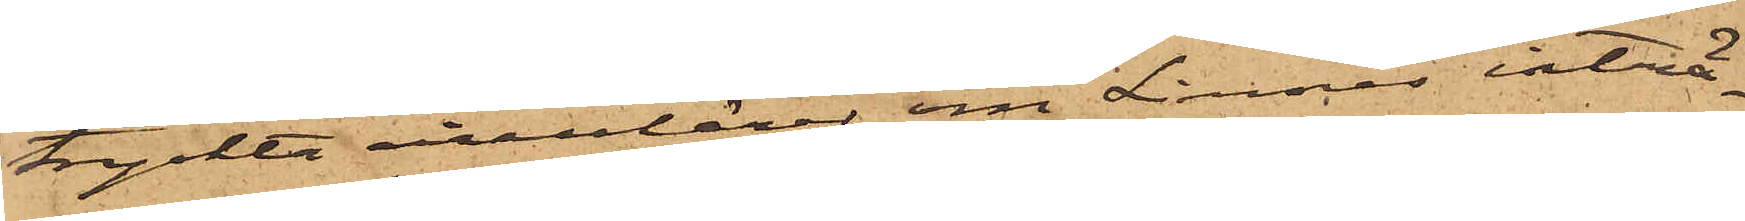tryckta circulärer om Linnés inträd¬
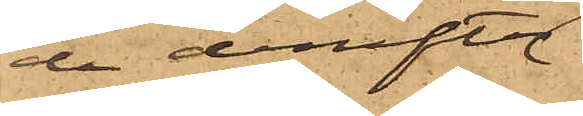de derefter
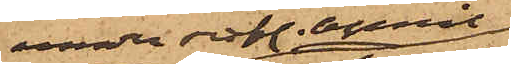under sistl. April
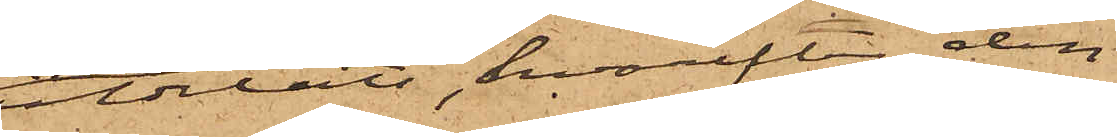utdelats, hvarefter den
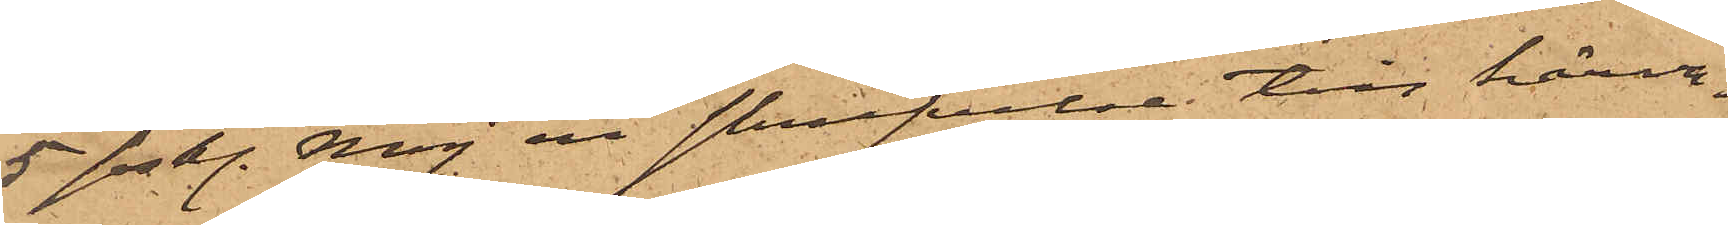5 sistl. Maj en skrifvelse till härva¬
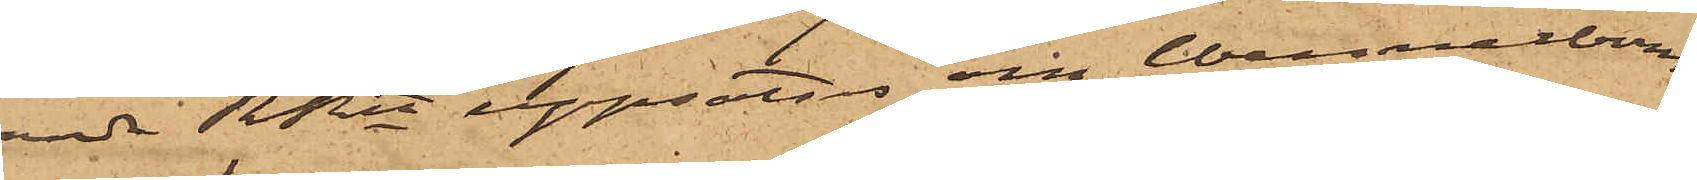ande RRtt uppsatts om Wennerboms
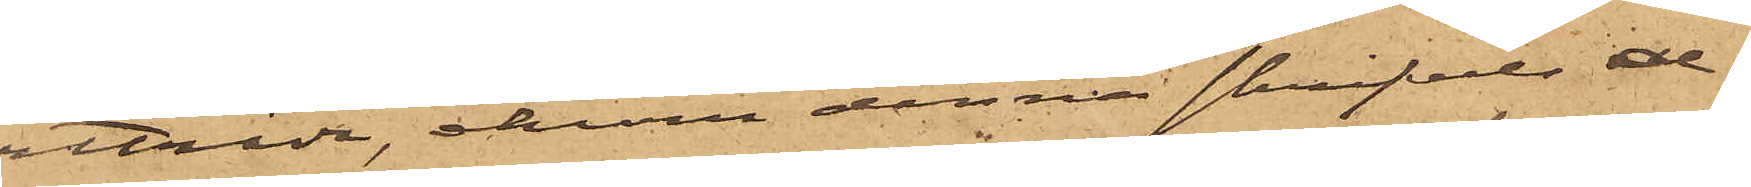utträde, ehuru denna skrifvelse al¬
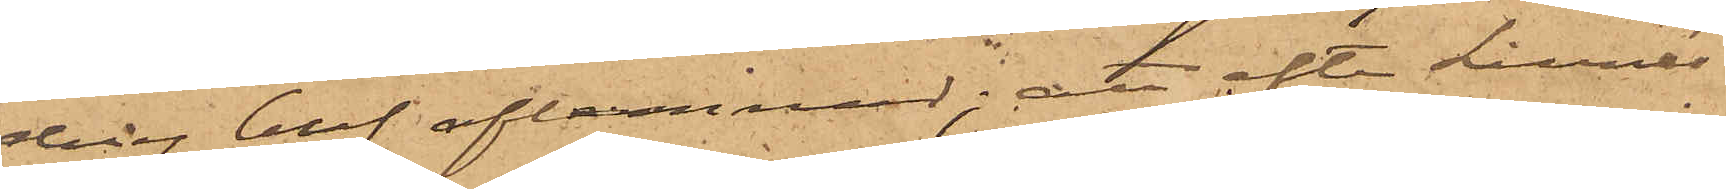drig blef aflemnad; att efter Linnés
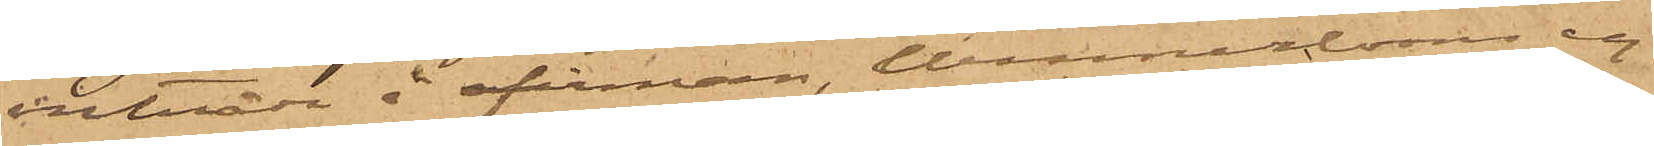inträde i firman, Wennerbom ej
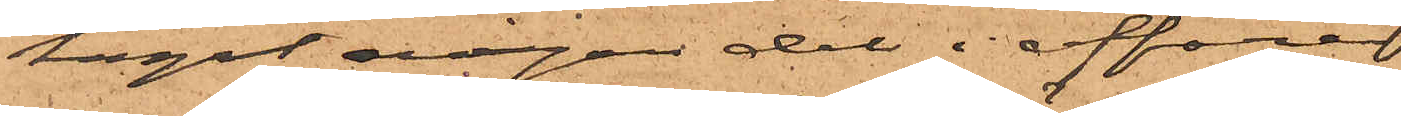tagit någon del i affären
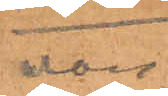även 
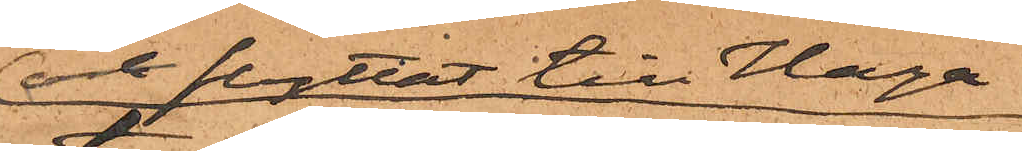ock flyttat till Haga;
